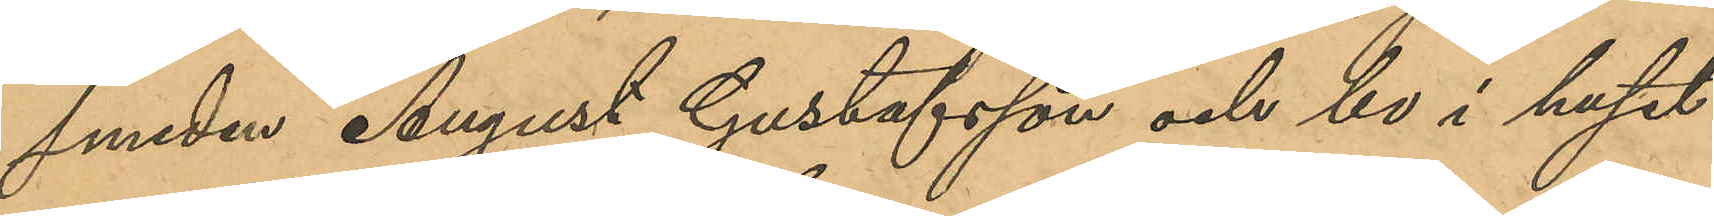smeden August Gustafsson och bo i huset
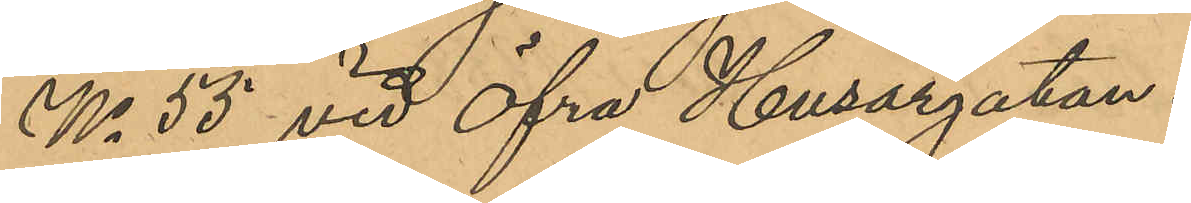No 55 vid Öfra Husargatan.
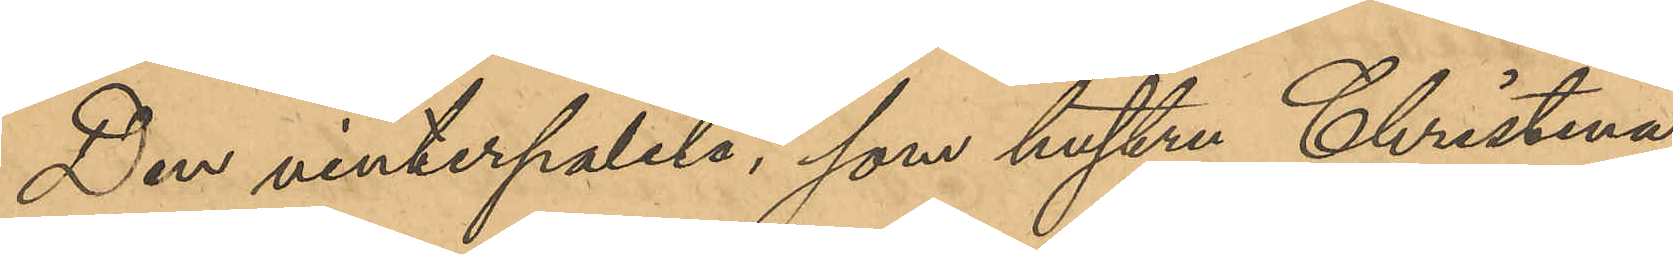Den vinterpaletå, som hustu Christina
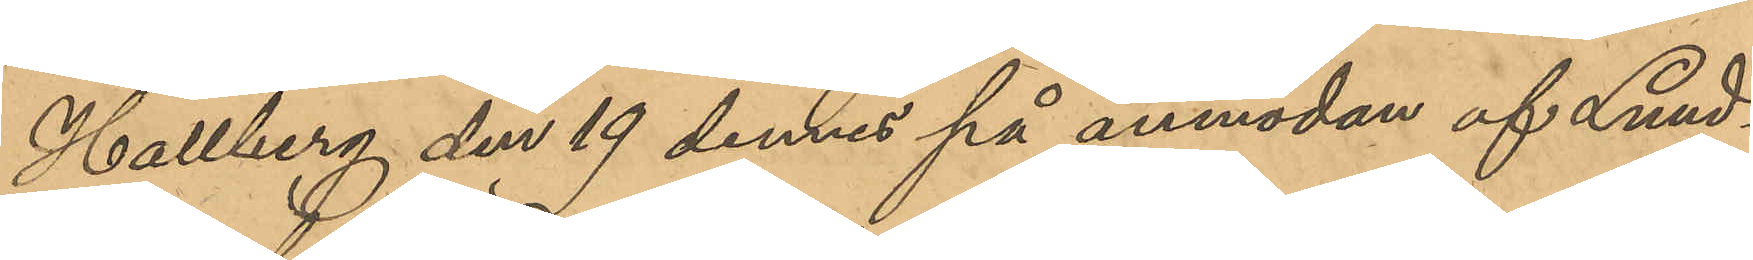Hallberg, den 19 dennes på anmodan af Lund¬
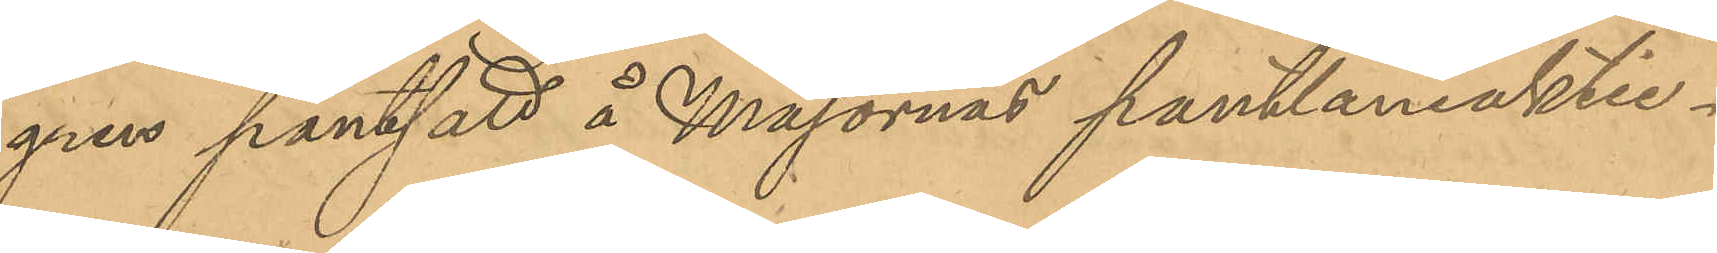gren pantsatt å Majornas pantlåneaktie¬
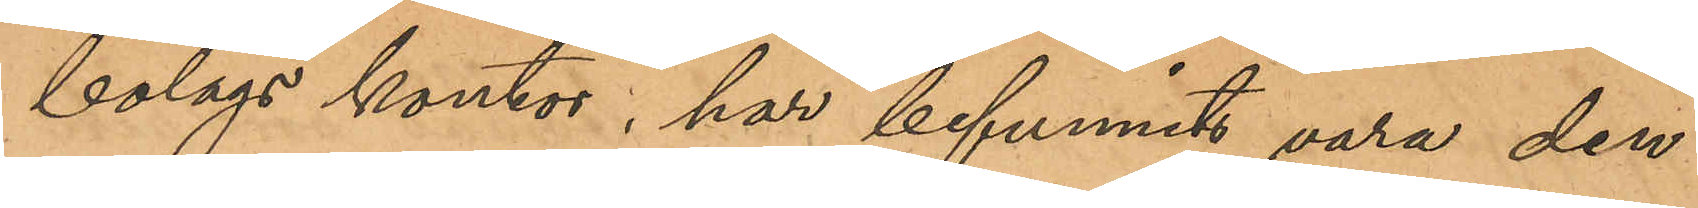bolags kontor; har befunnits vara den
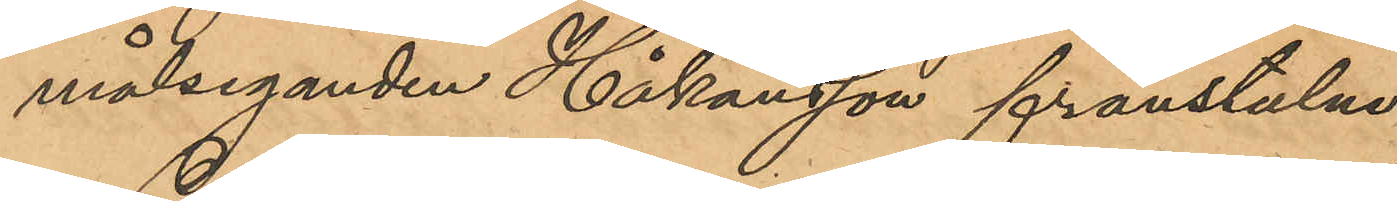målseganden Håkansson frånstulne.
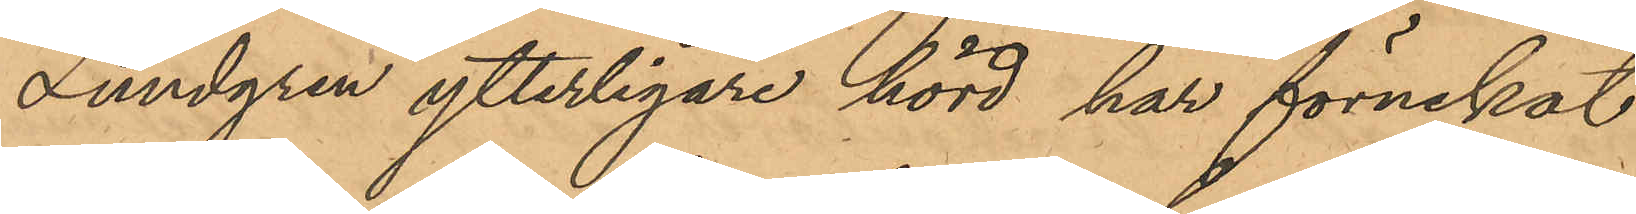Lundgren ytterligare hörd har förnekat
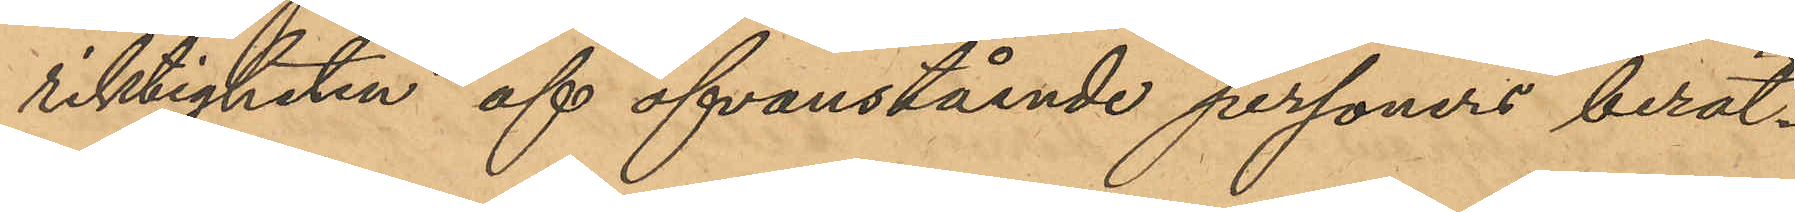riktigheten af ofvanstående personers berät¬
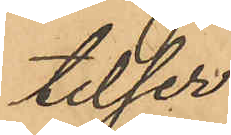telser.
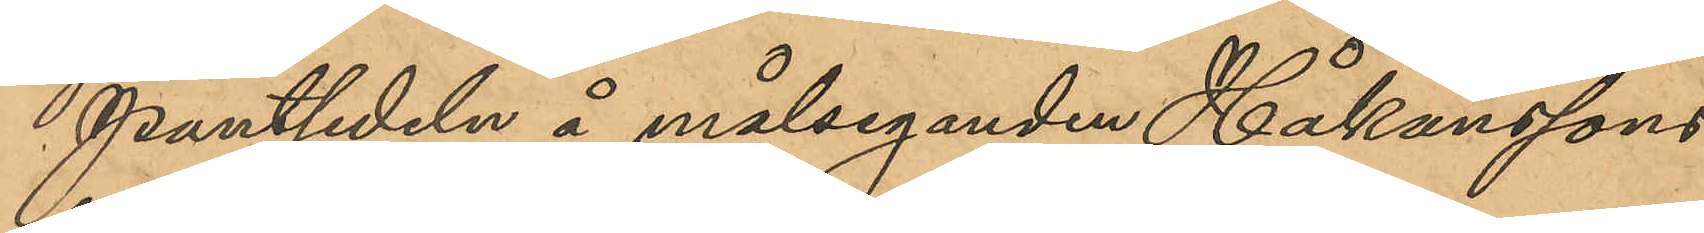Pantsedeln å målseganden Håkanssons
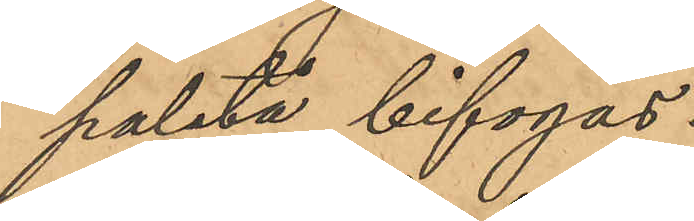paletå bifogas.
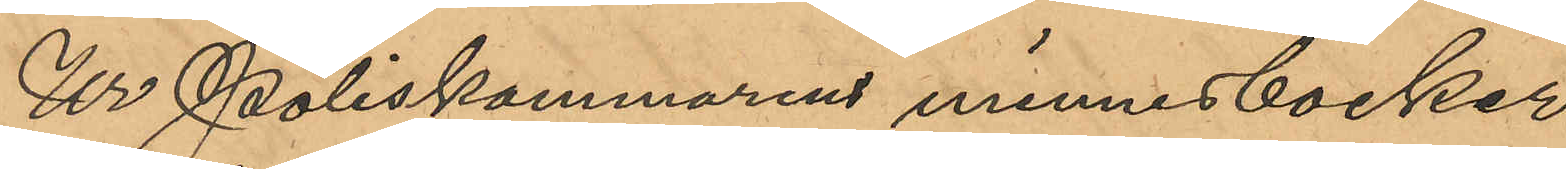Ur Poliskammarens minnesböcker
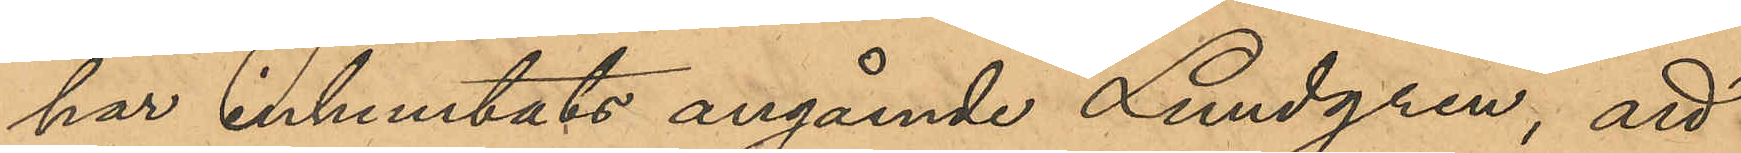har inhemtats angående Lundgren, att
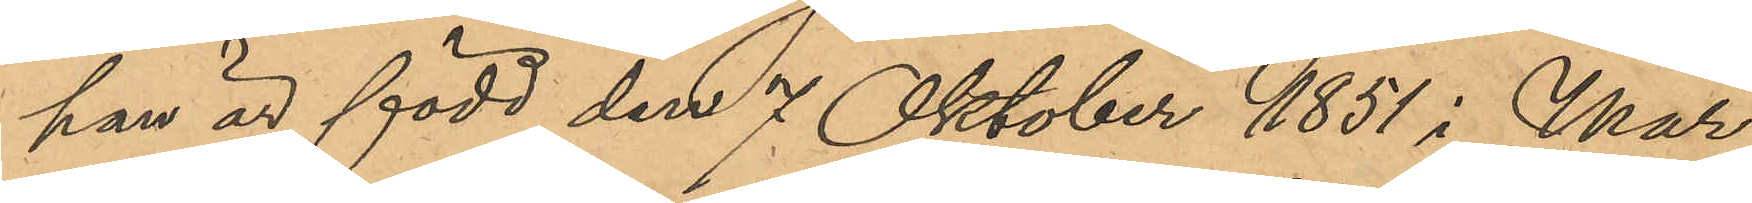han är född den 7 Oktober 1851 i Mar¬
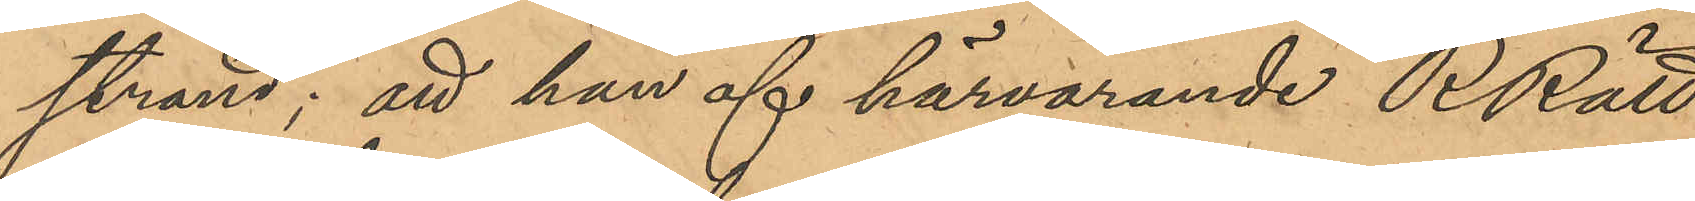strand; att han af härvarande RRätt
